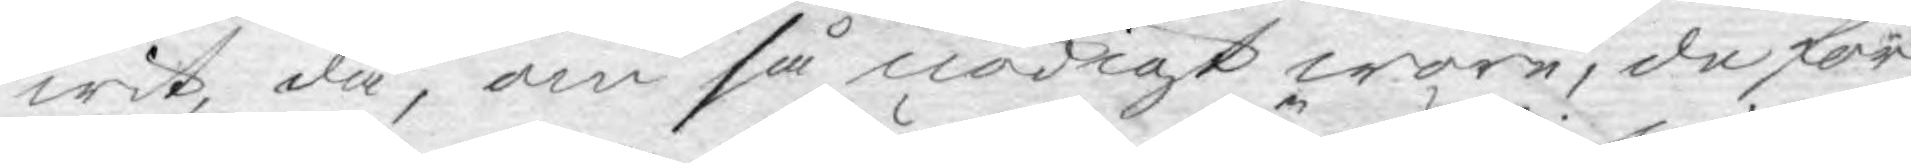wit, då, om så nödigt wore, de för¬
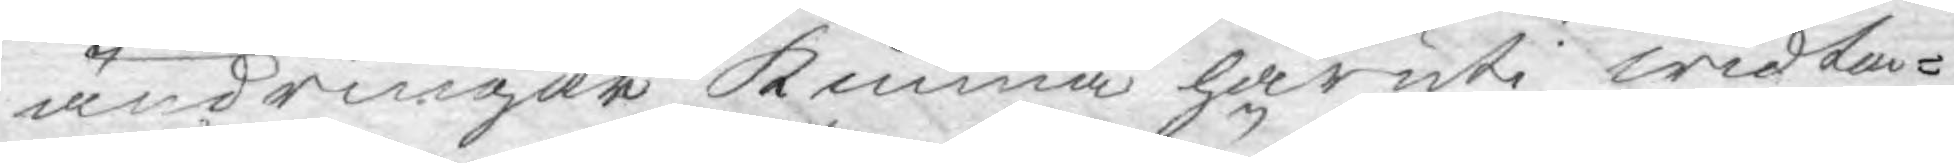ändringar kunna häruti widta¬
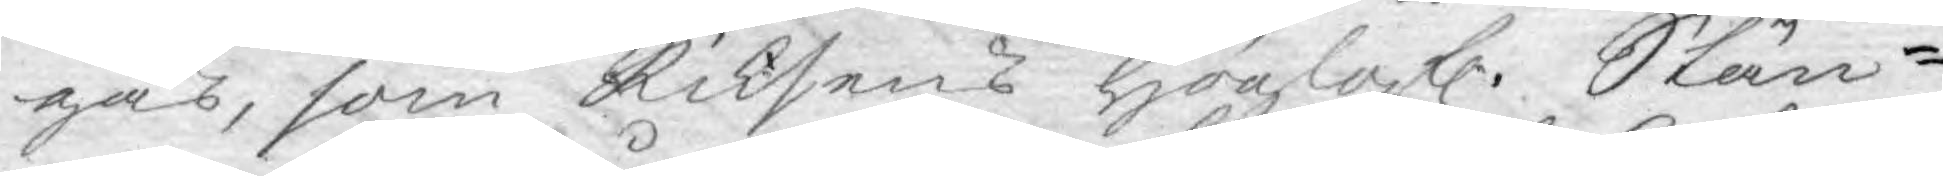gas, som Riksens Höglofl. Stän¬
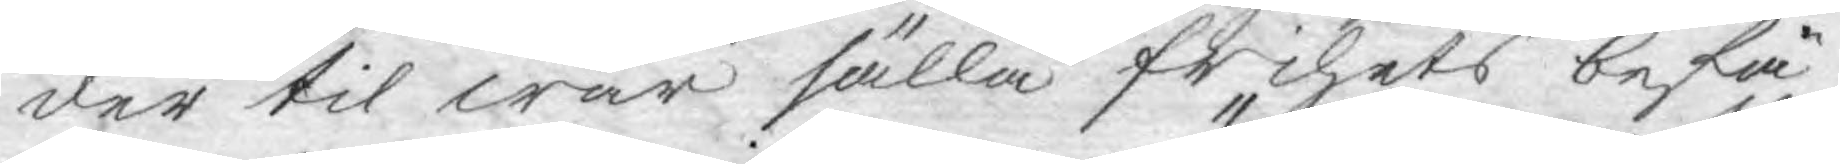der til wår sälla frihets befä¬
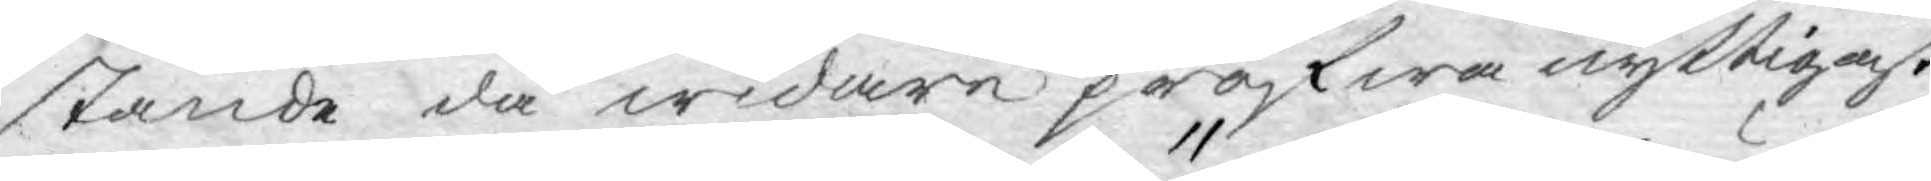stande då widare pröfwa nyttigast.
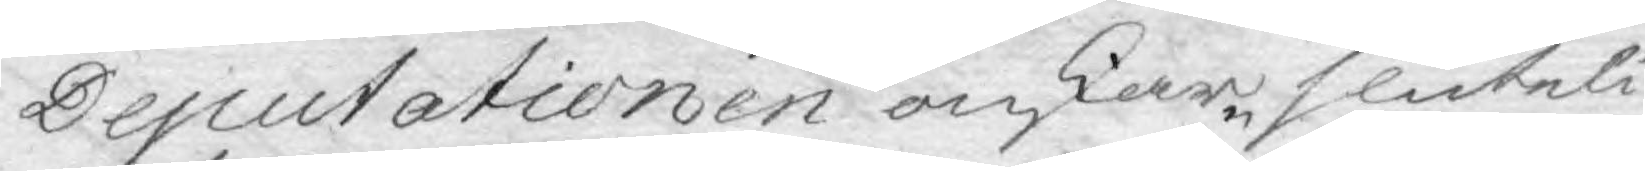Deputationen önskar sluteli¬
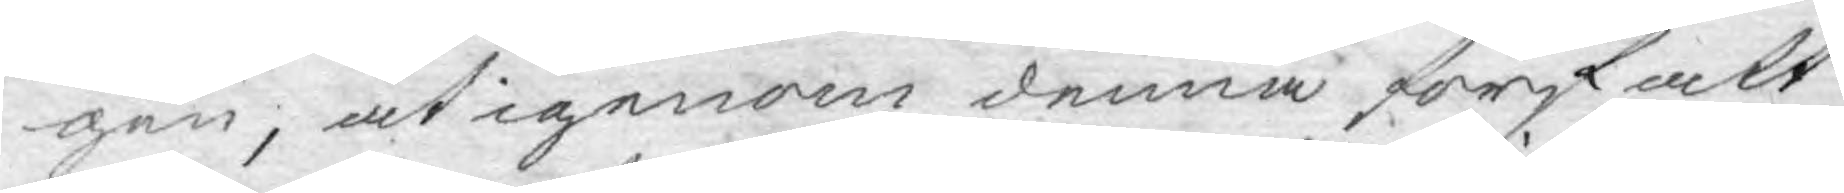gen, at igenom denna författ¬
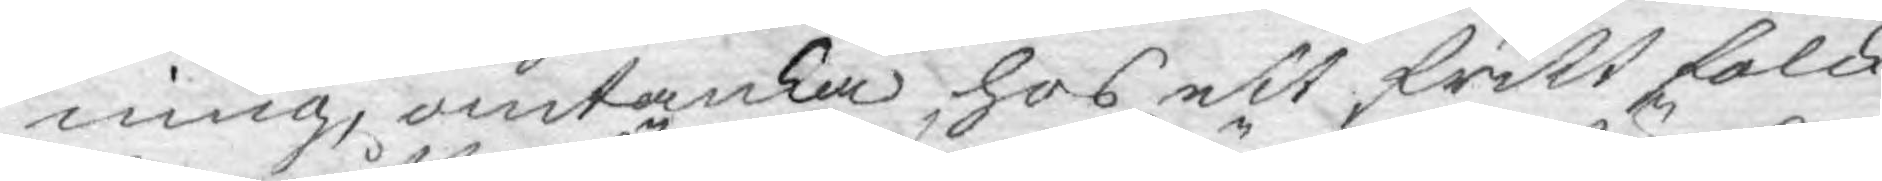ning, omtanka hos ett fritt folck
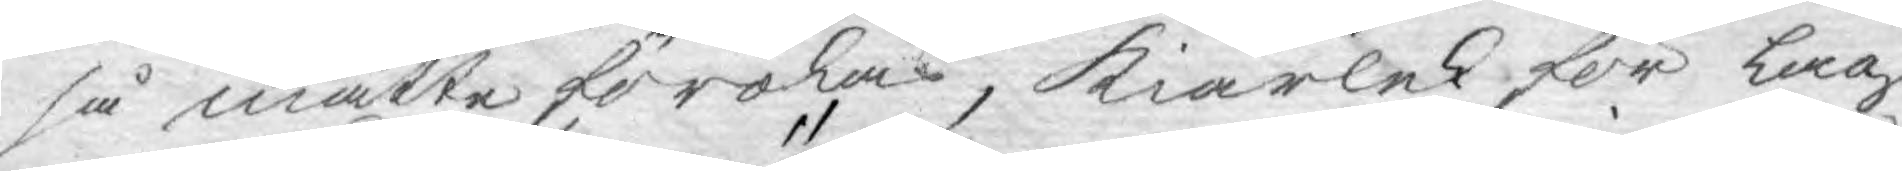så måtte förökas, Kiärlek för Lag
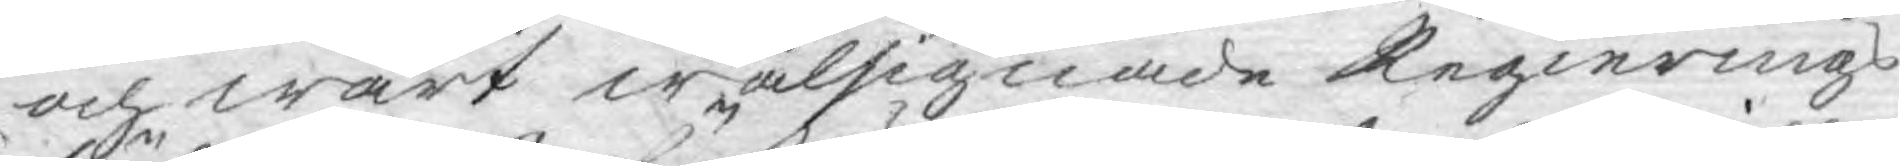och wårt wälsignade Regierings
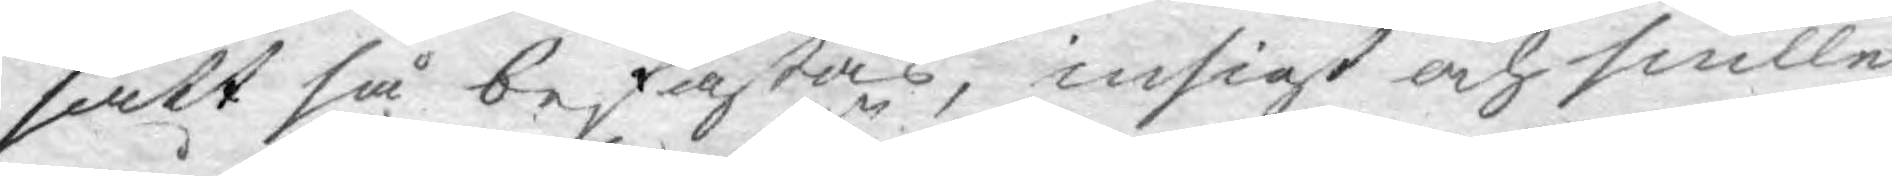sätt så befästas, insigt och snille
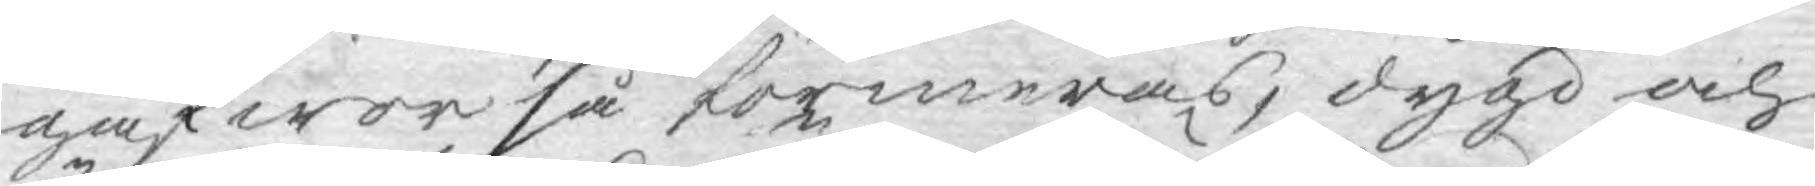gåfwor så förmeras, dygd och
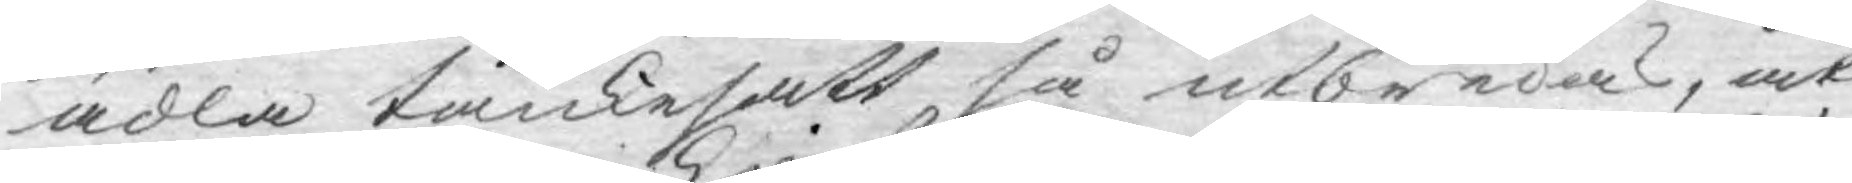ädla tankesätt så utbredas, at
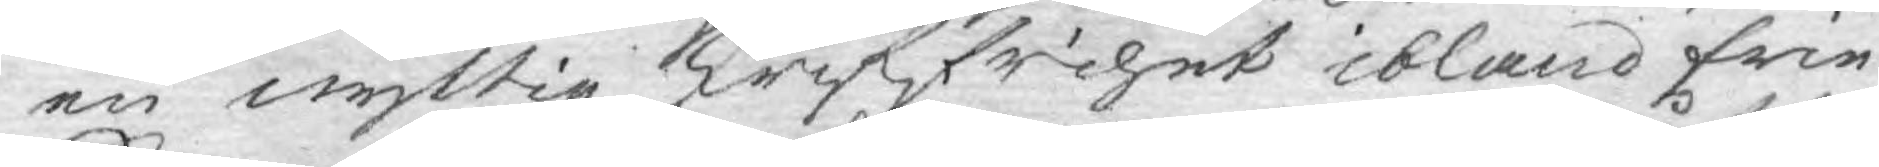en nyttig skriffrihet ibland frie
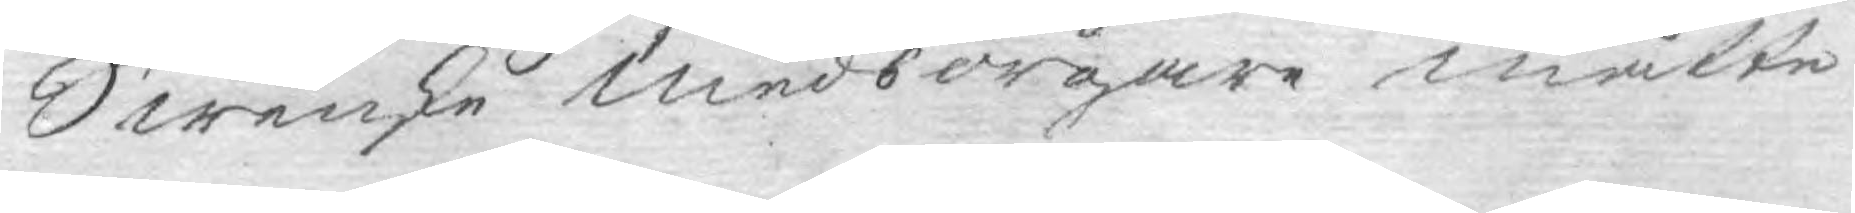Swenske Medborgare måtte
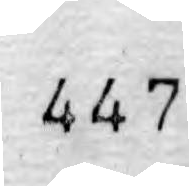447
